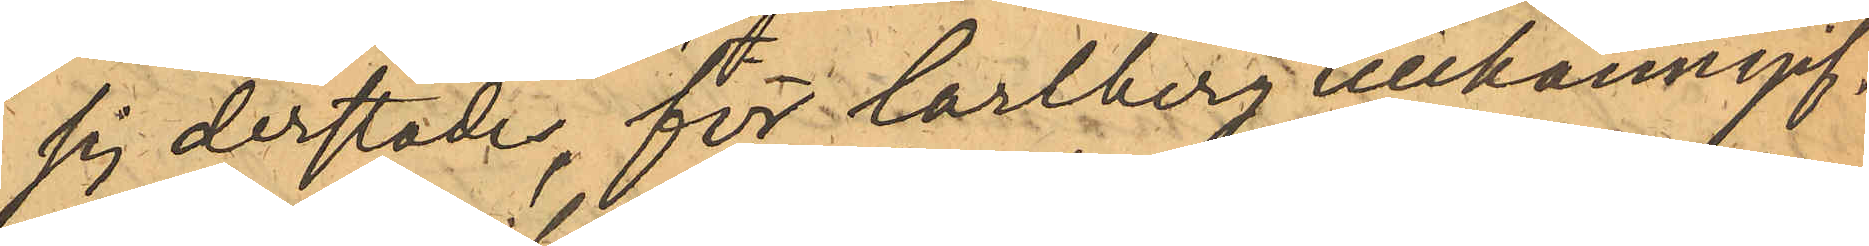sig derstädes för Carlbergs tillkänngif¬
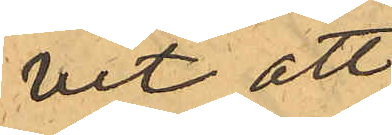vit att
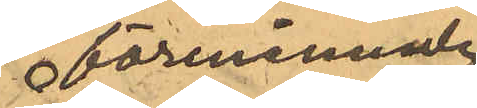förenämnde
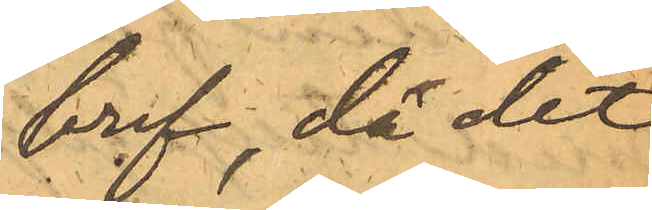bref, då det
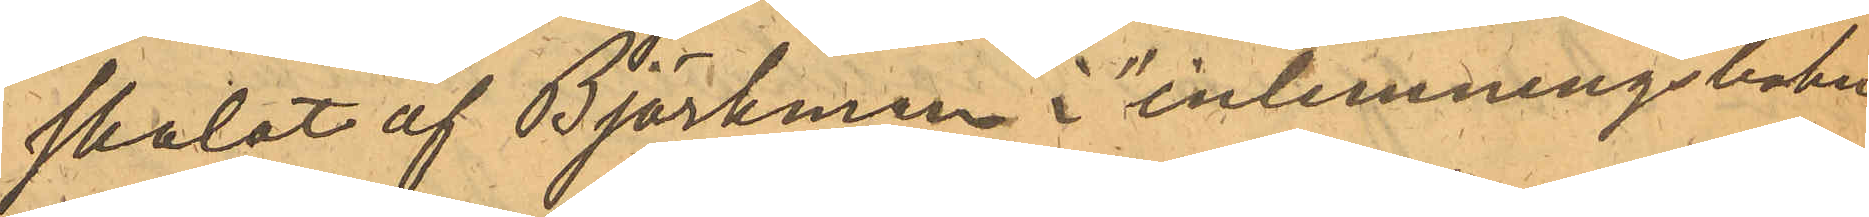skolat af Björkman i "inlemningsboken"
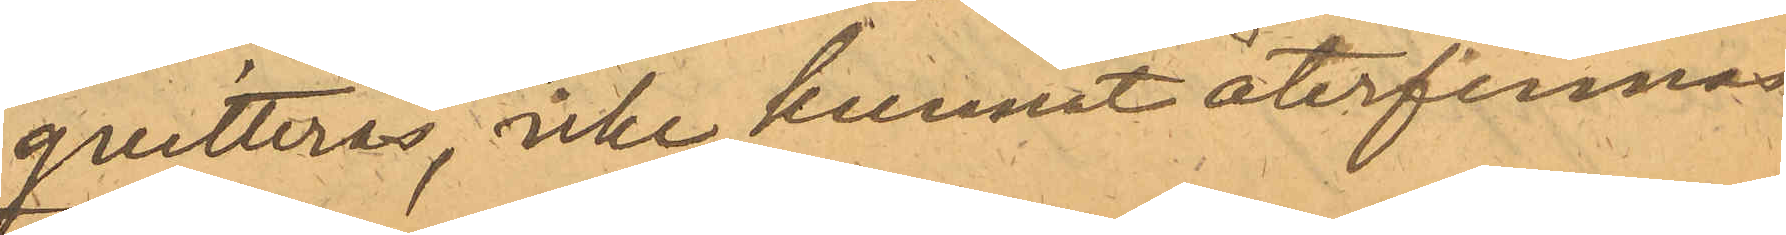qvitteras, icke kunnat återfinnas
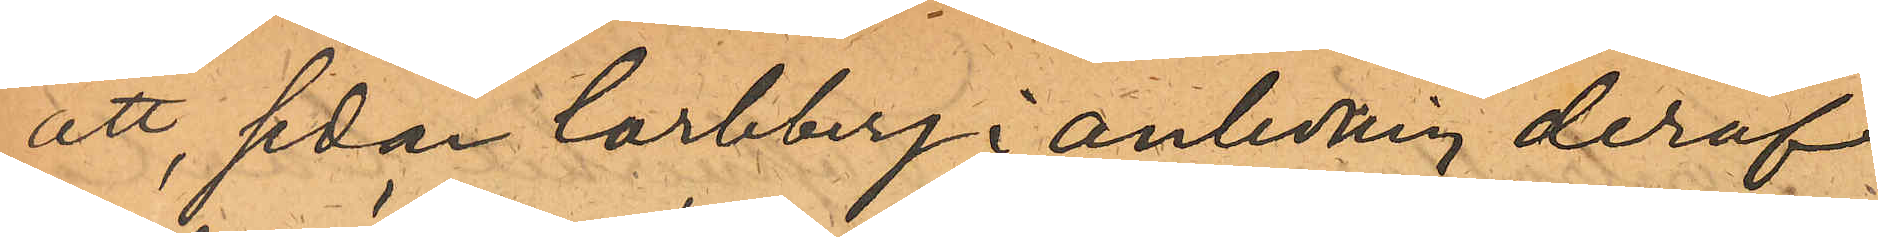att, sedan Carlberg i anledning deraf
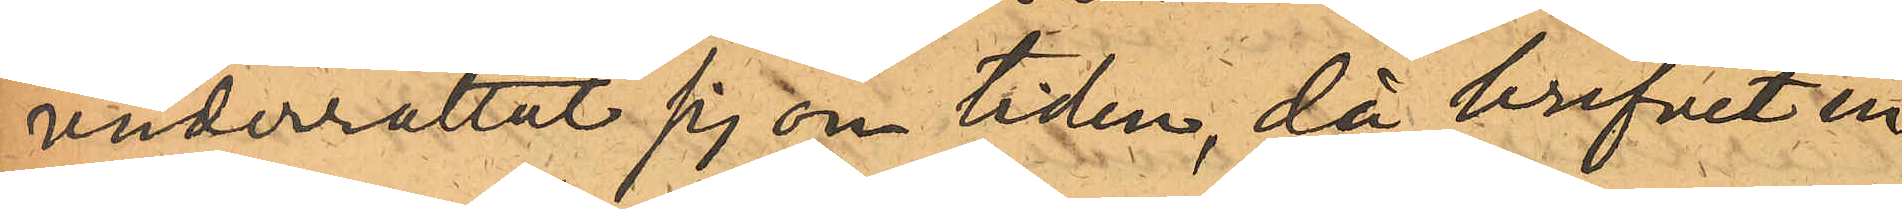underrättat sig om tiden, då brefvet in¬
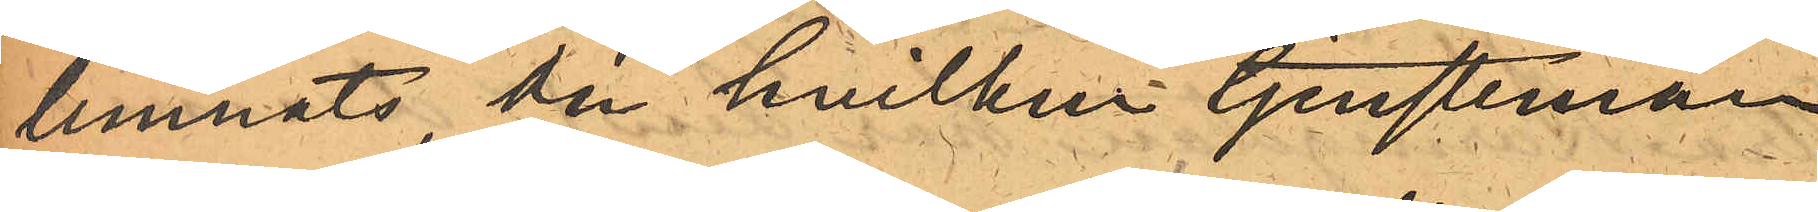lemnats, om hvilken tjensteman
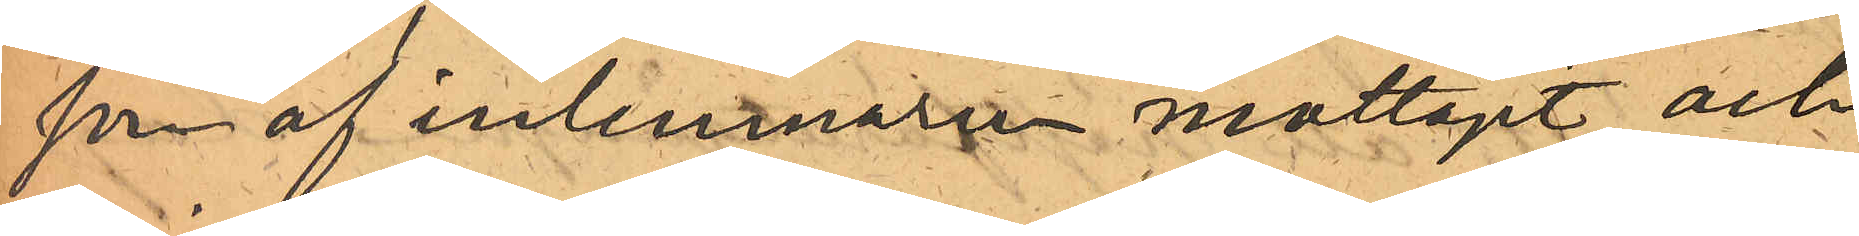som af inlemnaren mottagit och
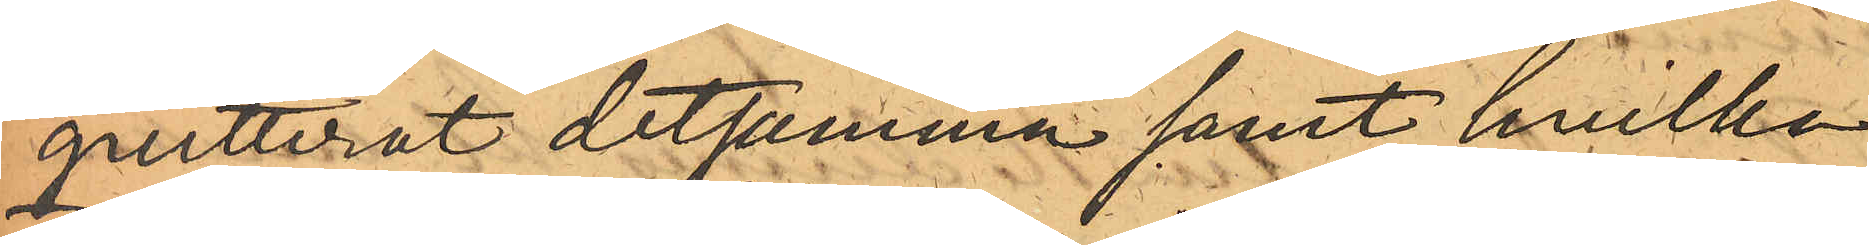quitterat detsamma samt hvilka
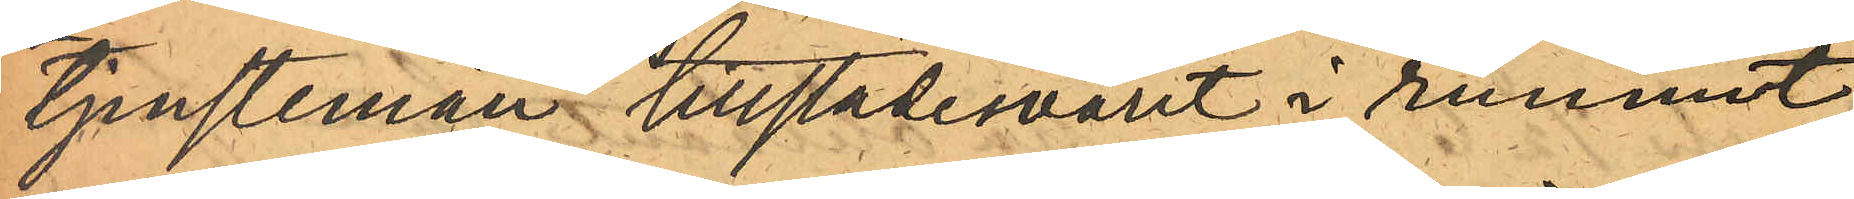tjenstemän tillstädesvarit i rummet
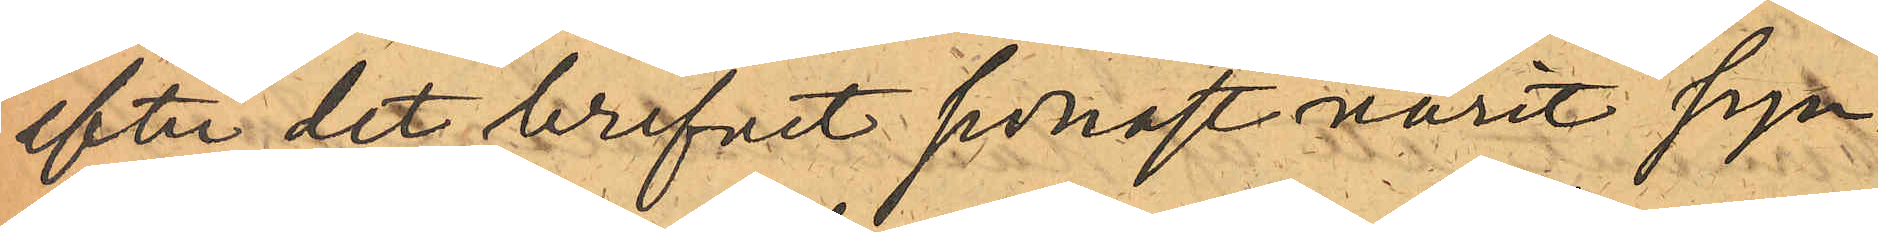efter det brefvet sednast varit syn¬
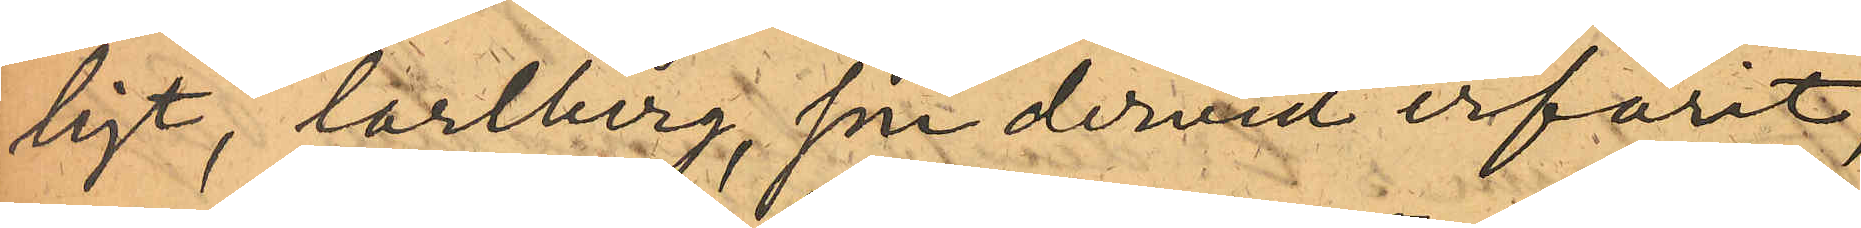ligt, Carlberg, som dervid erfarit,
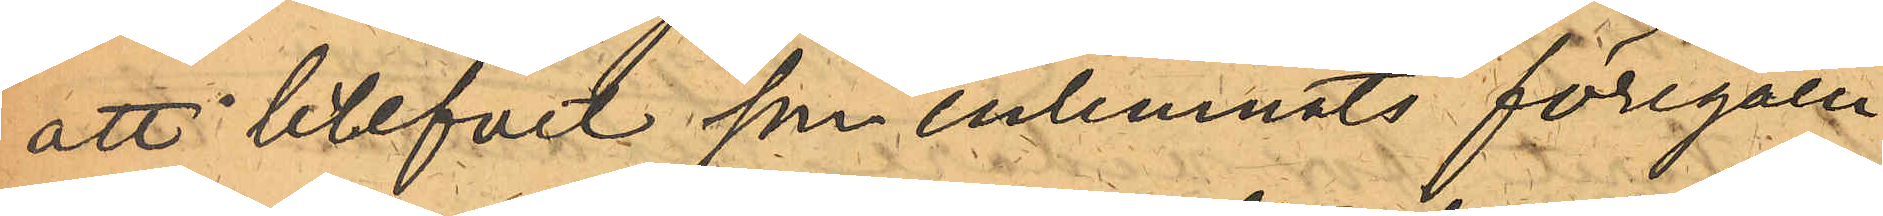att brefvet som inlemnats föregåen¬
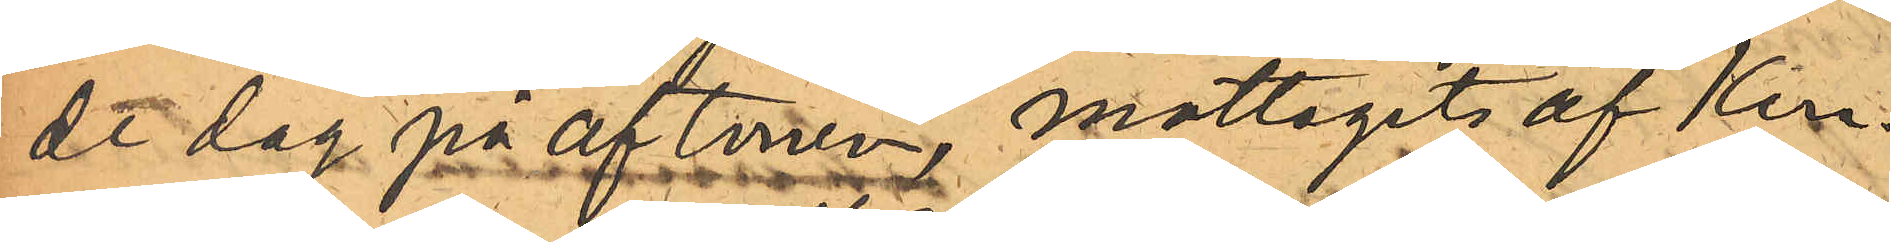de dag på aftonen, mottagits af Kon¬
